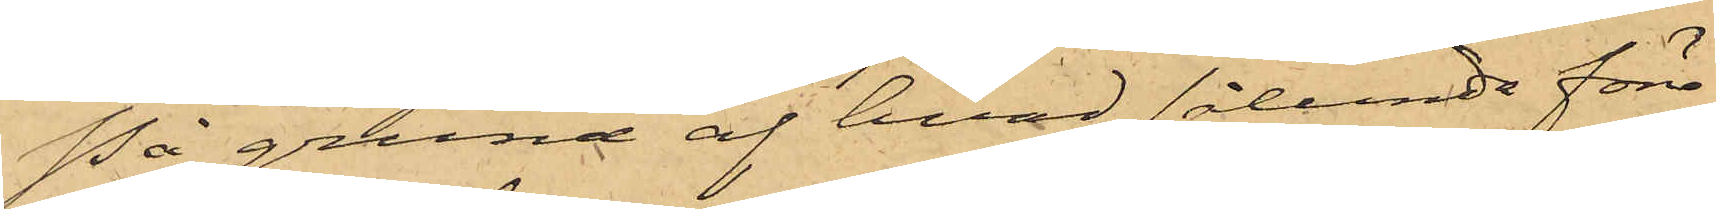På grund af hvad sålunda före¬
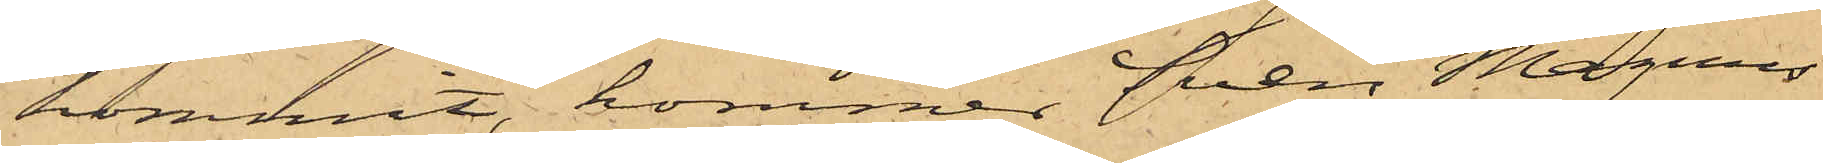kommit, kommer Sven Magnus
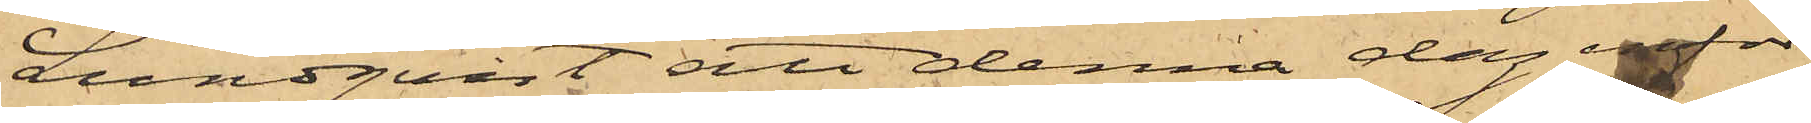Lundqvist att denna dag inför
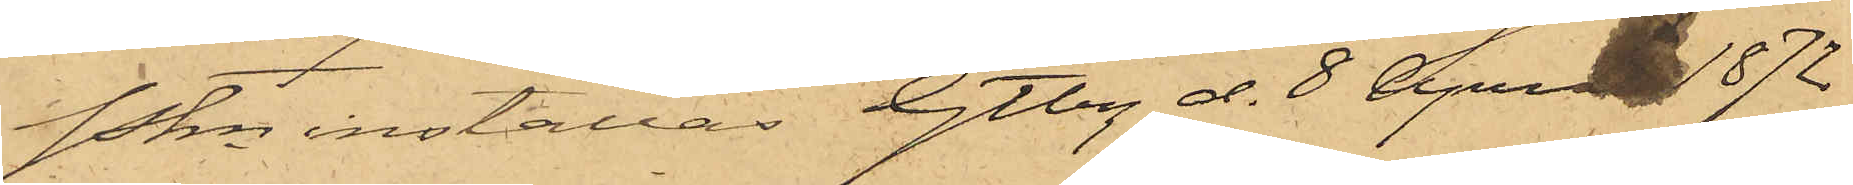Pkn inställas. Gtbg d. 8 April 1872
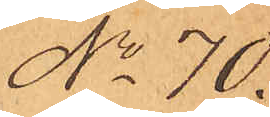No 70.
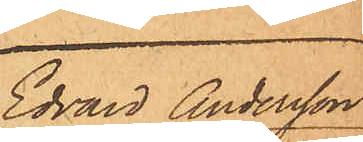Edvard Andersson
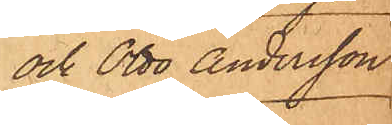och Otto Andersson
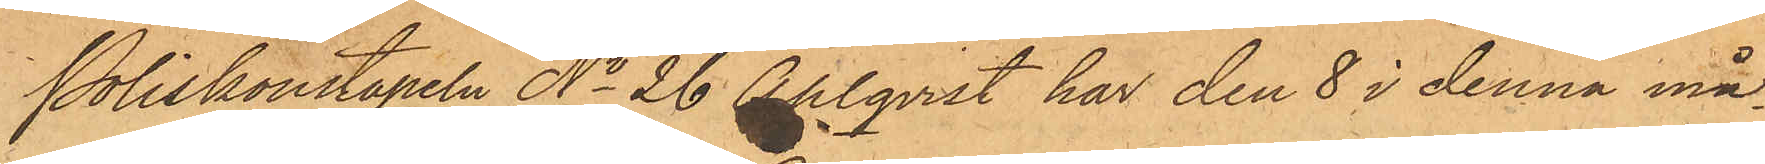Poliskonstapeln No 26 Ahlqvist har den 8 i denna må¬
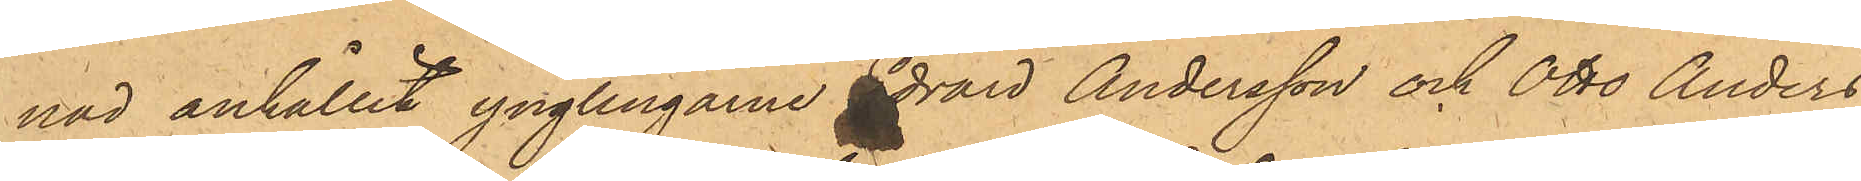nad anhållit ynglingarne Edvard Andersson och Otto Anders¬
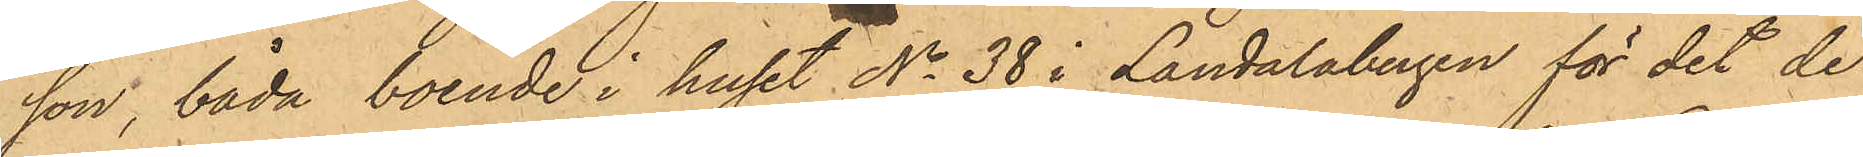son, båda boende i huset No 38 i Landalabergen för det de
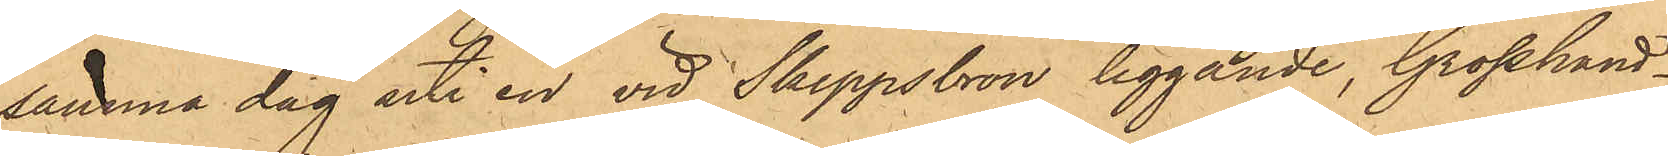samma dag uti en vid Skeppsbron liggande, Grosshand¬
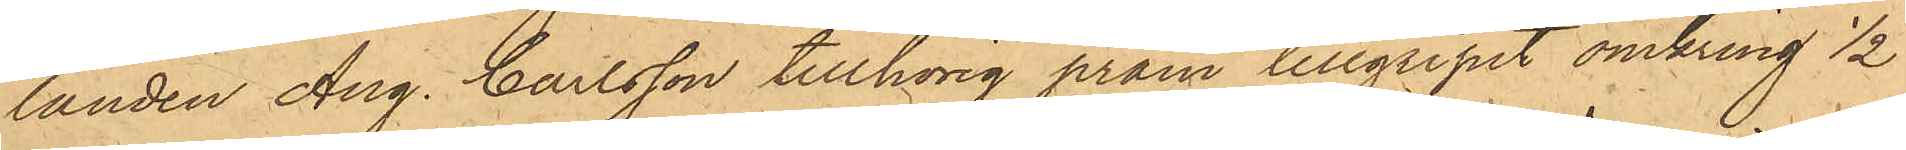landen Aug. Carlsson tillhörig pråm tillgripit omkring 1/2
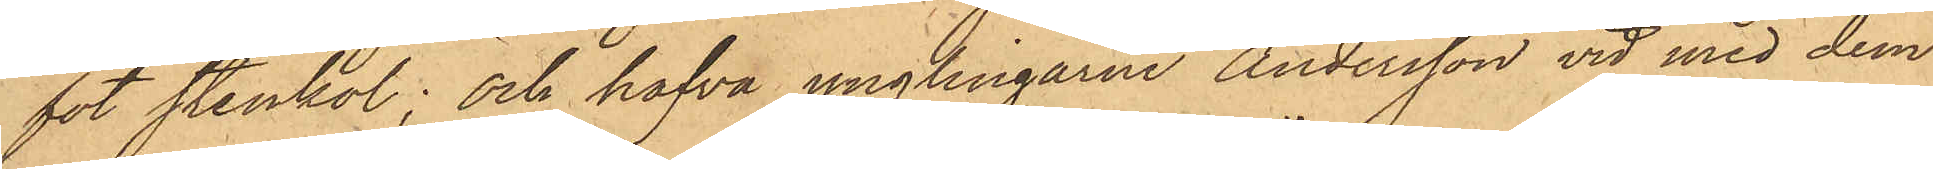fot stenkol; och hafva ynglingarne Andersson vid med dem
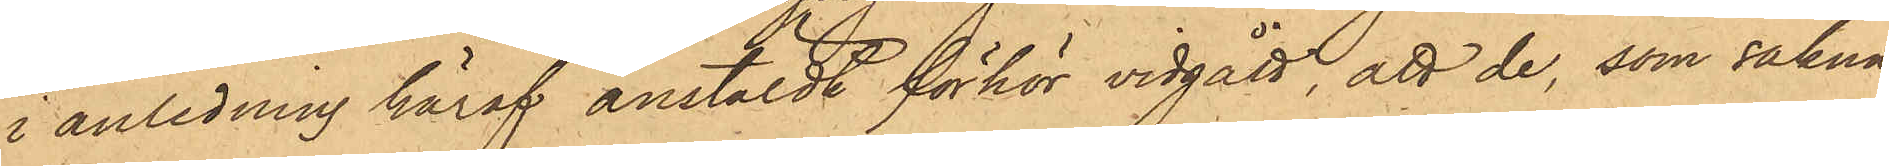i anledning häraf anstäldt förhör vidgått, att de, som sakna
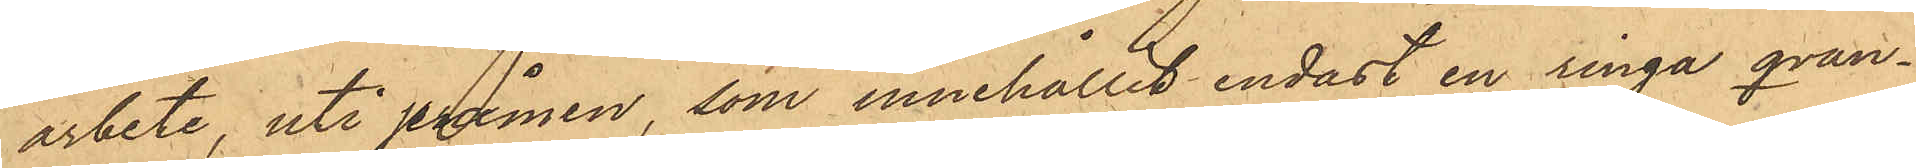arbete, uti pråmen, som innehållit endast en ringa qvan¬
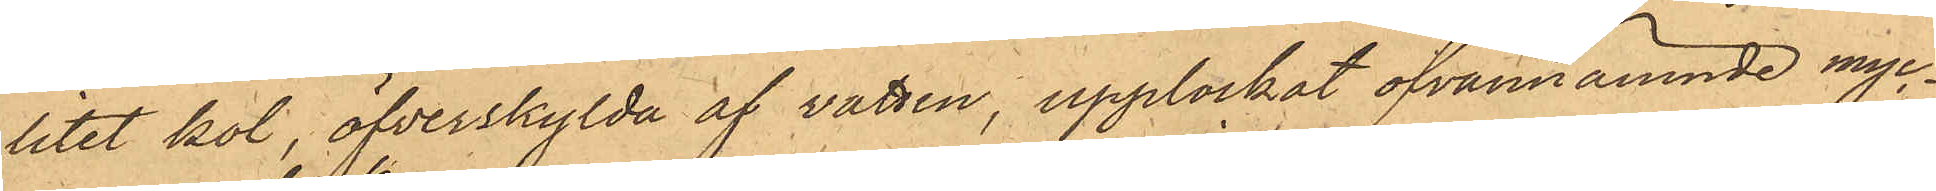titet kol, öfverskylda af vatten, upplockat ofvannämnde myc¬
